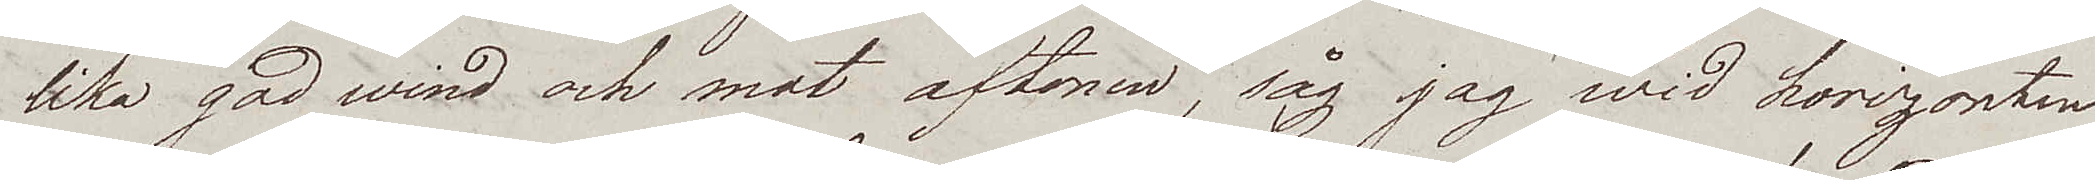lika god wind och mot aftonen, såg jag wid horizonten
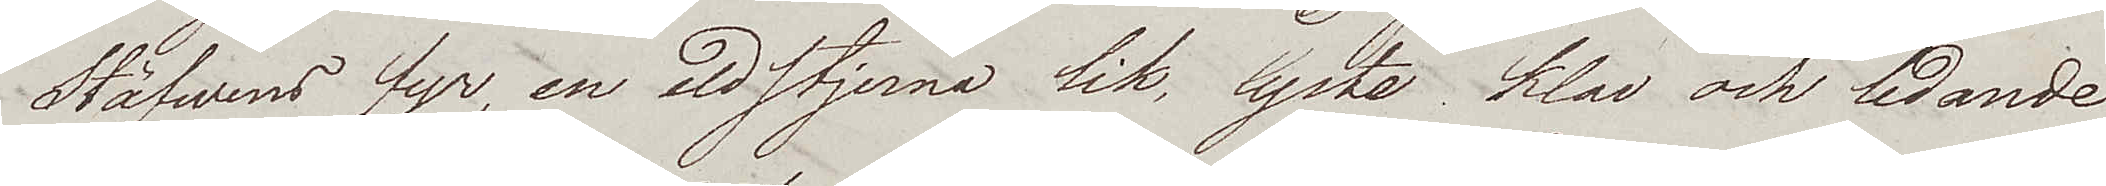Stäfwens fyr, en eldstjerna lik, lyste klar och ledande.
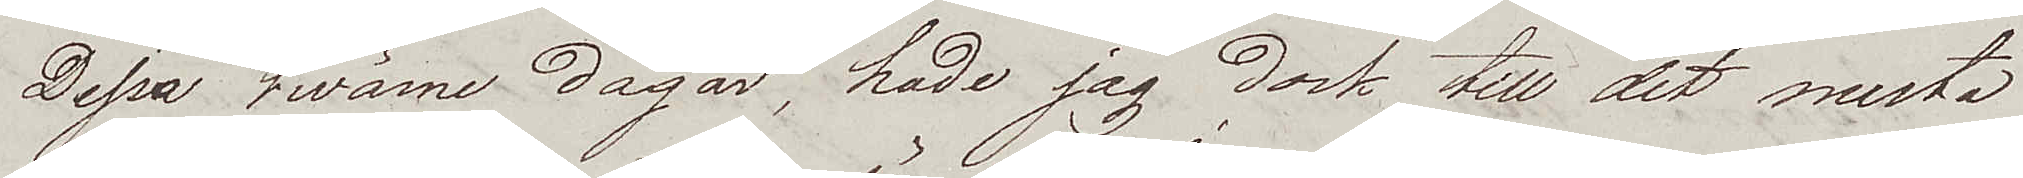Dessa twänne dagar, hade jag dock till det mesta
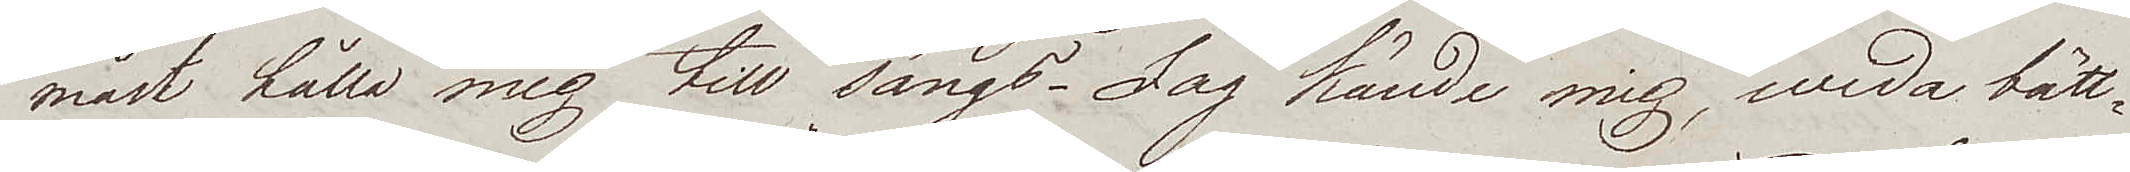måst hålla mig till sängs. Jag kände mig, wida bätt¬
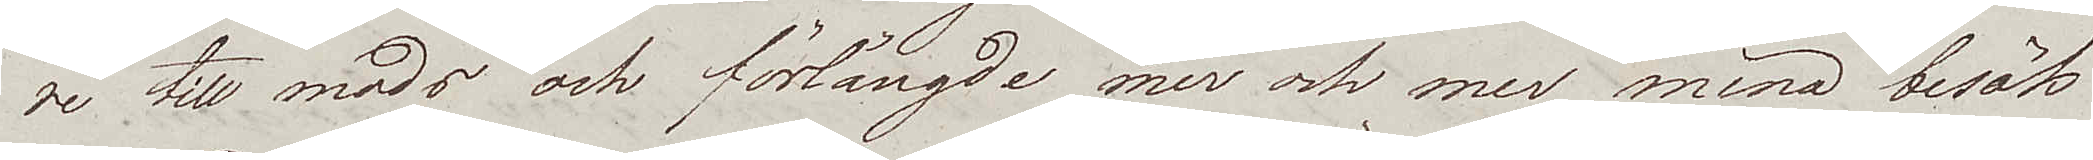re till mods och förlängde mer och mer mina besök
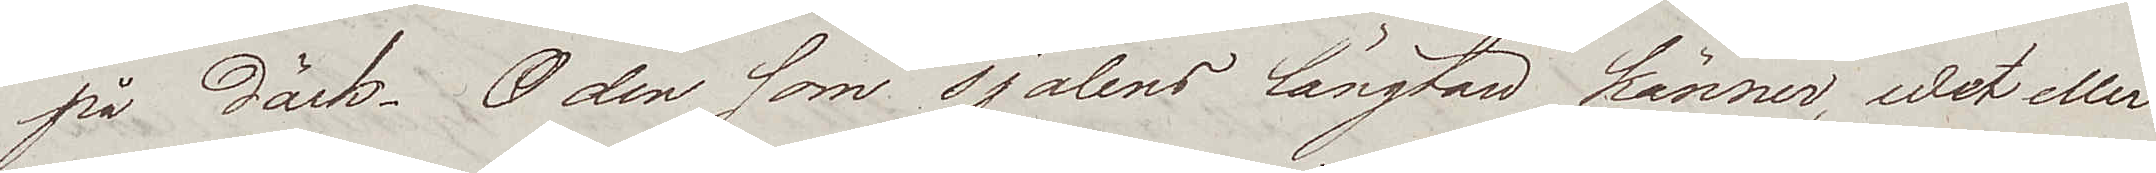på däck. O den som själens längtan känner, wet eller
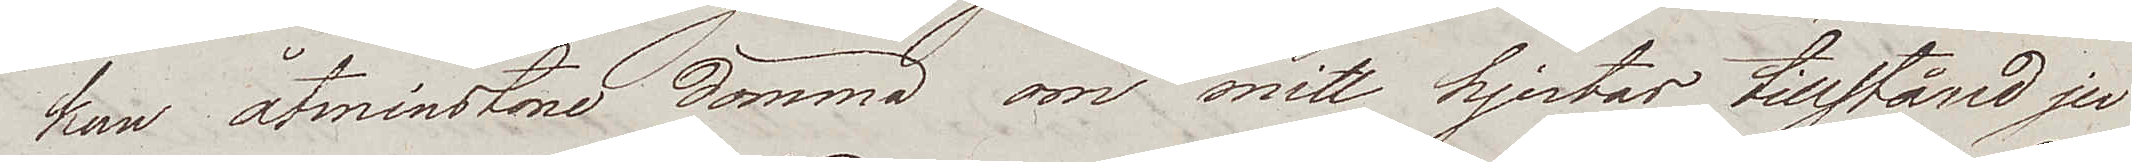kan åtminstone dömma om mitt hjertas tillstånd ju
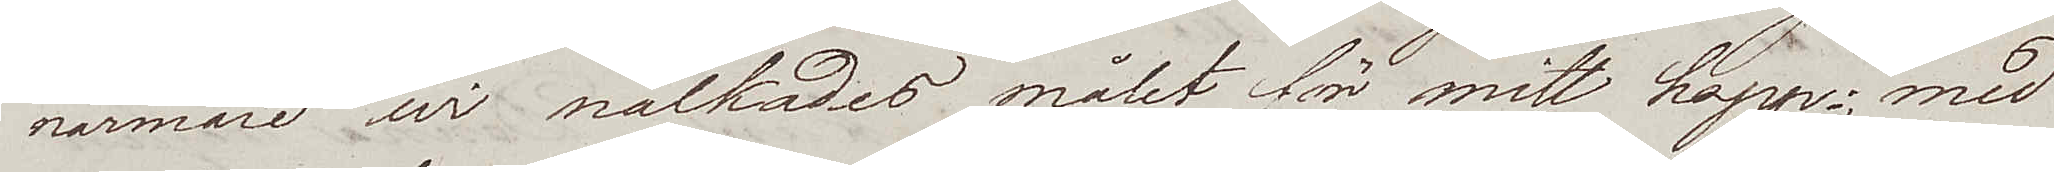närmare wi nalkades målet för mitt hopp; med
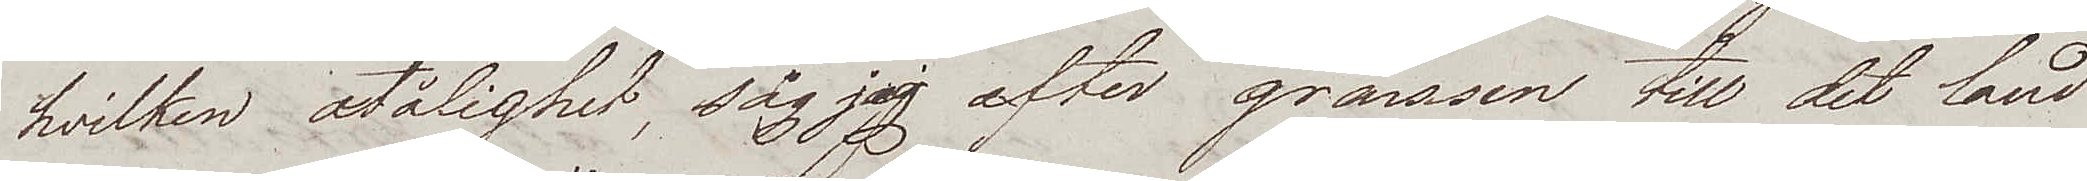hvilken otålighet, såg jag efter gränsen till det land
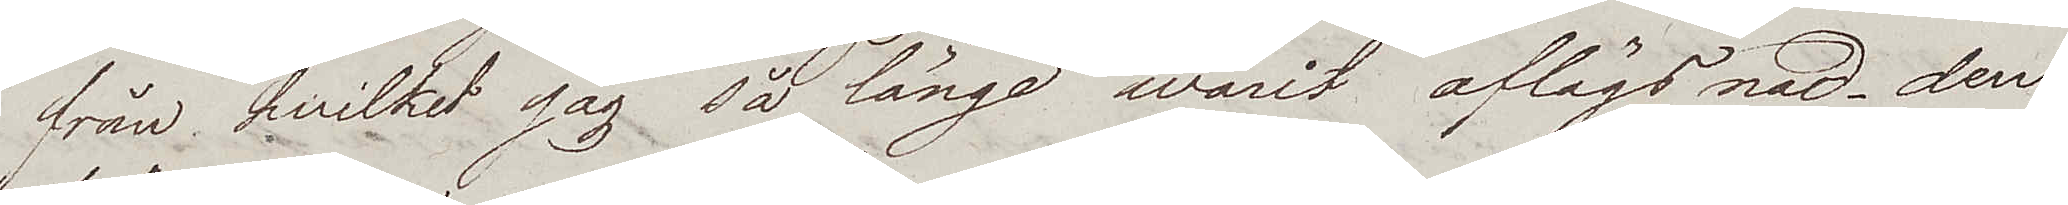från hvilket jag så länge warit aflägsnad – den
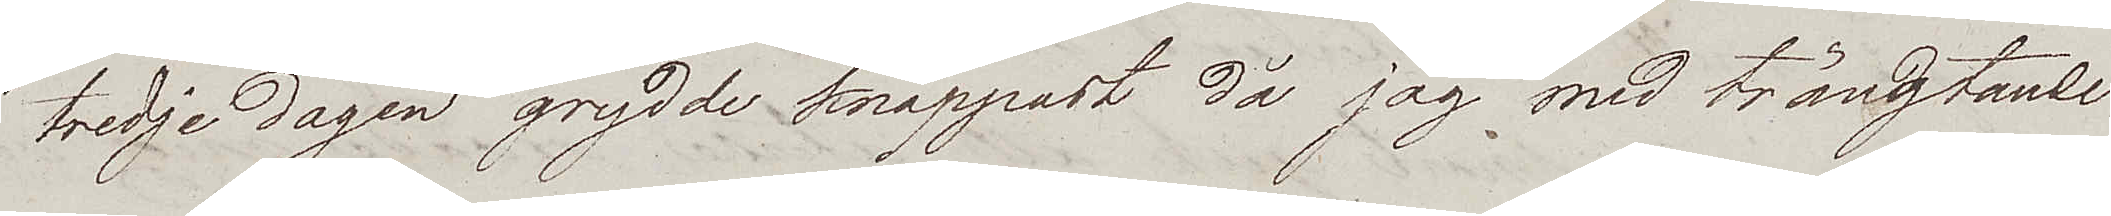tredje dagen grydde knappast då jag med trängtande
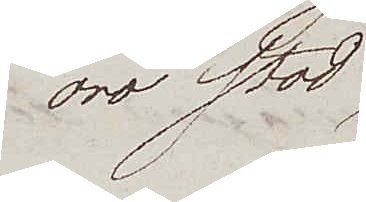oro stod
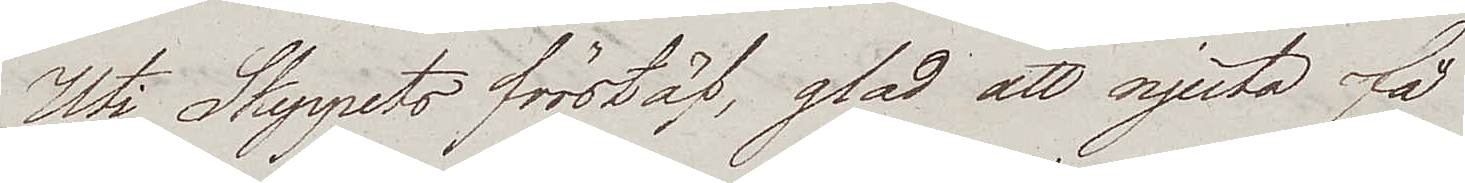Uti Skeppets förstäf, glad att njuta få
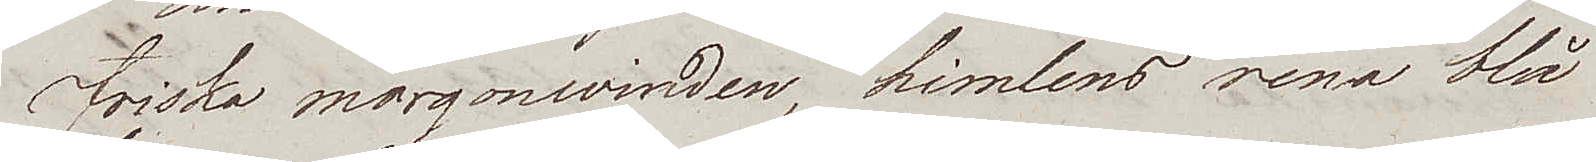friska morgonwinden, himlens rena blå
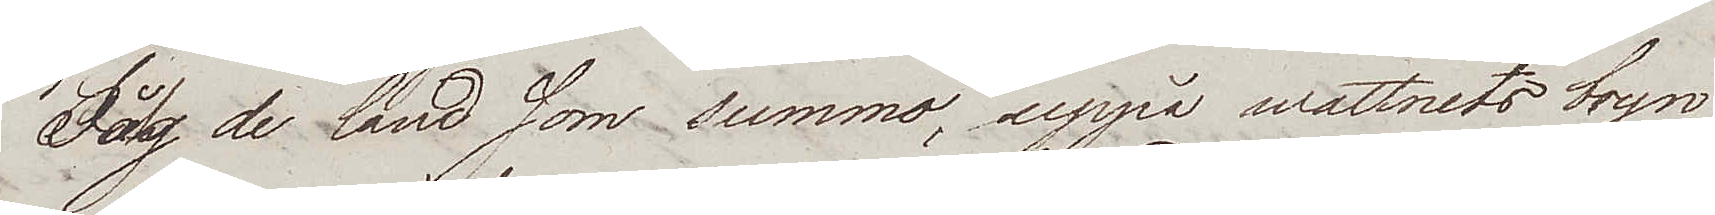Såg de land som summo, uppå wattnets bryn
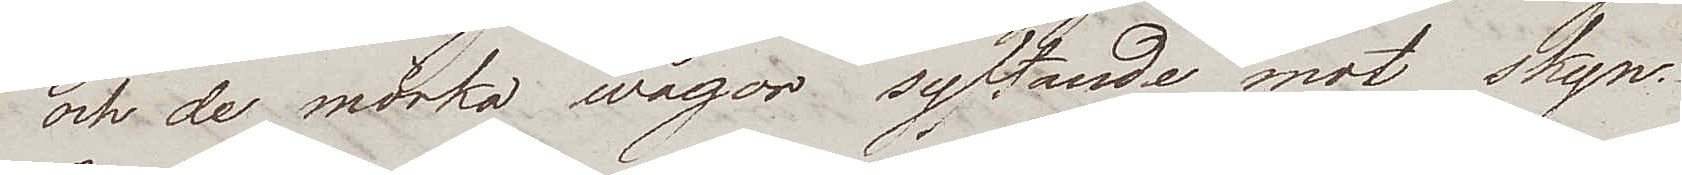och de mörka wågor syftande mot skyn.
